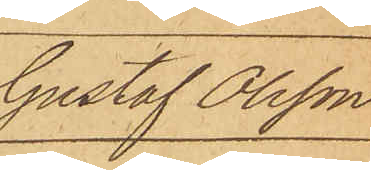Gustaf Olsson
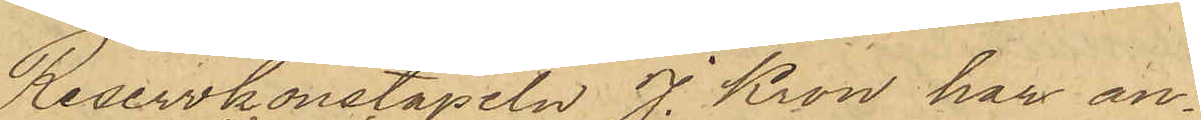Reservkonstapeln J. Kron har an¬
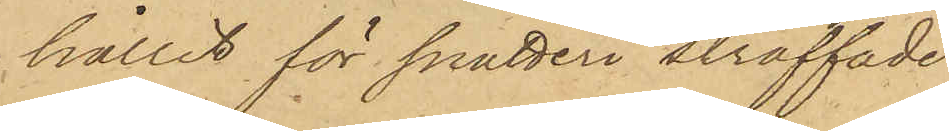hållit för snatteri straffade
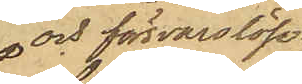 och försvarslöse
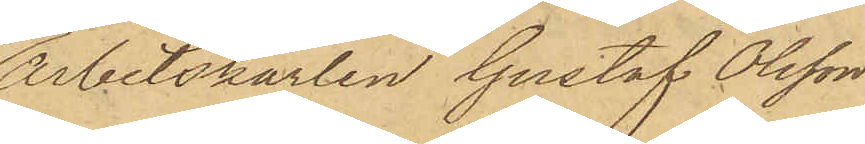Arbetskarlen Gustaf Olsson
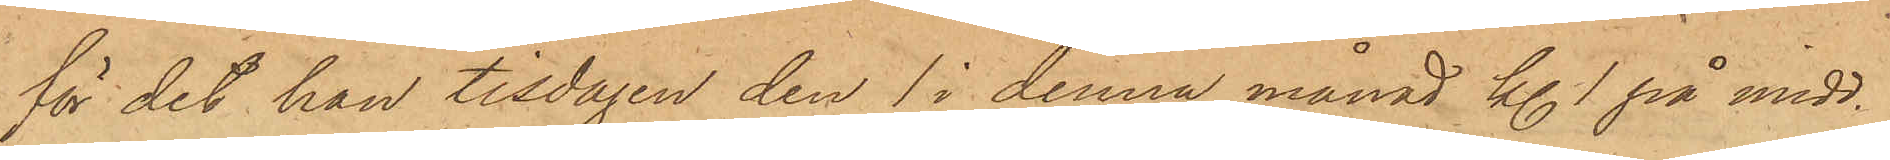för det han tisdagen den 1 i denna månad kl. 1 på midd.
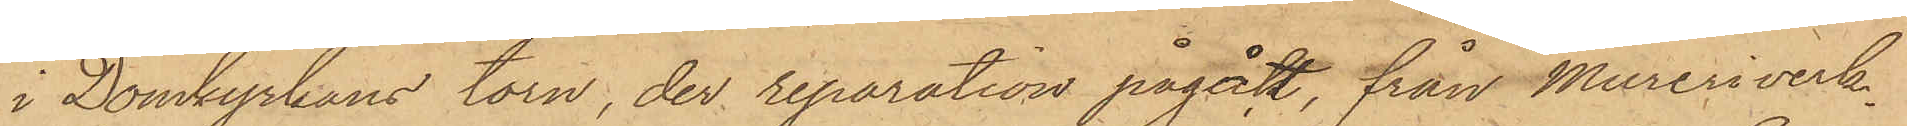i Domkyrkans torn, der reparation pågått, från Mureriverk¬
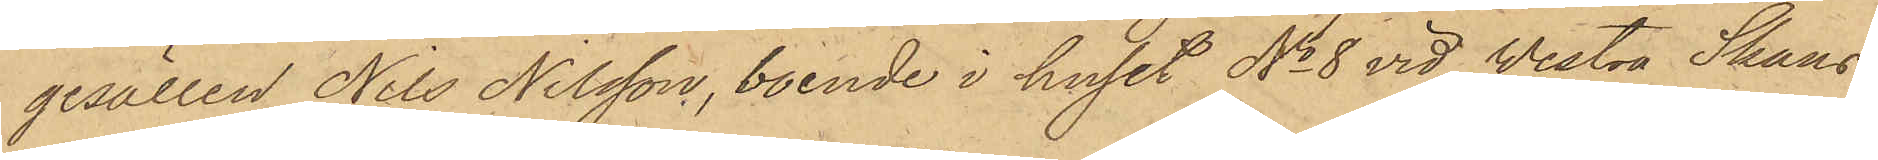gesällen Nils Nilsson, boende i huset No 8 vid Westra Skans¬
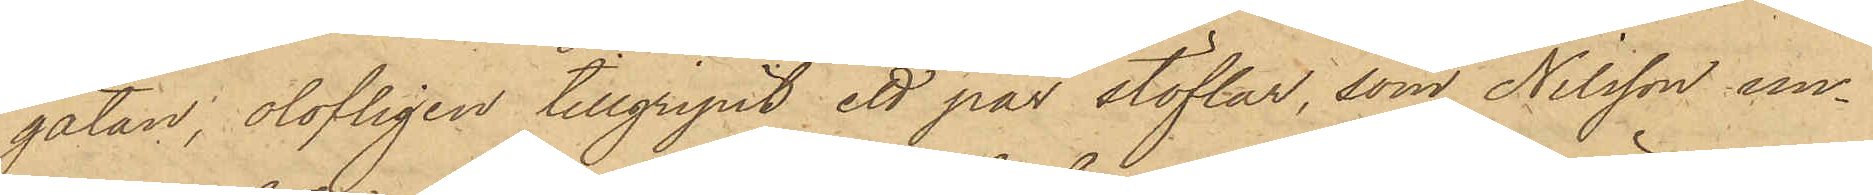gatan, olofligen tillgripit ett par stöflar, som Nilsson un¬
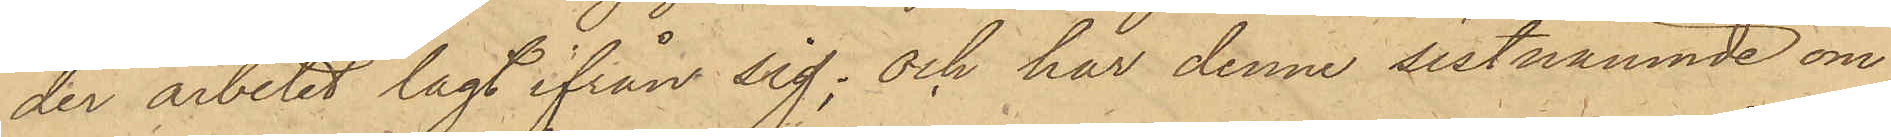der arbetet lagt ifrån sig; och har denne sistnämnde om
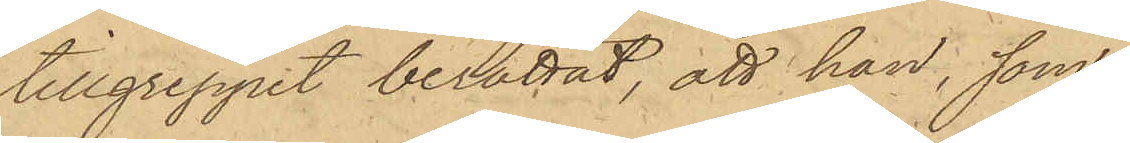tillgreppet berättat, att han, som
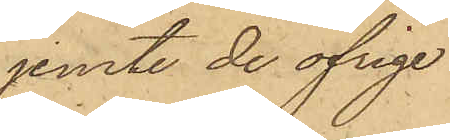jemte de öfrige
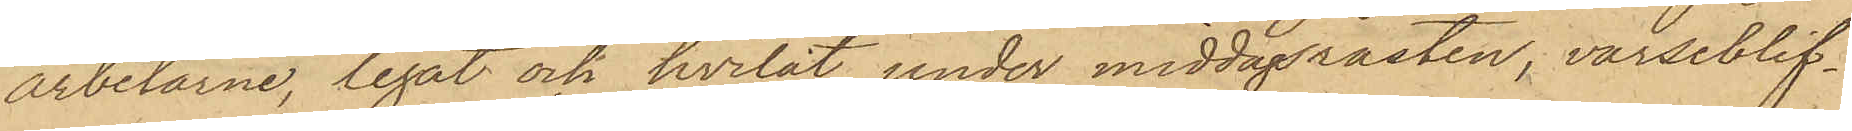arbetarne, legat och hvilat under middagsrasten, varseblif¬
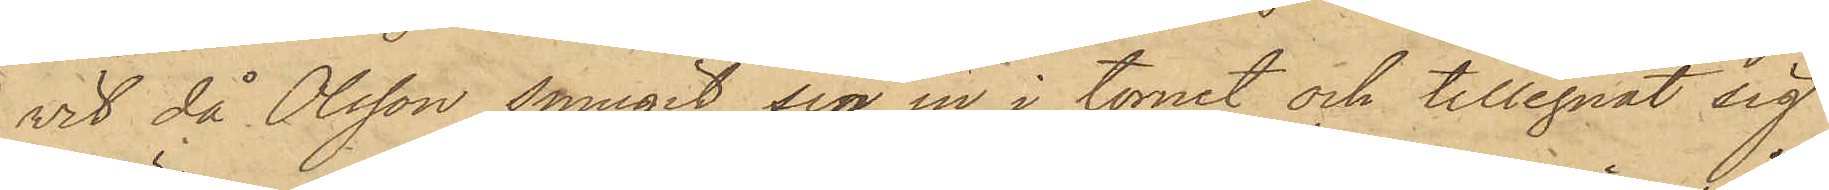vit då Olsson smugit sig in i tornet och tillegnat sig
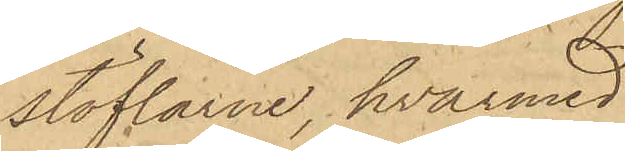stöflarne, hvarmed
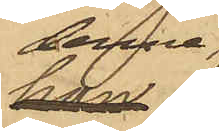denne
